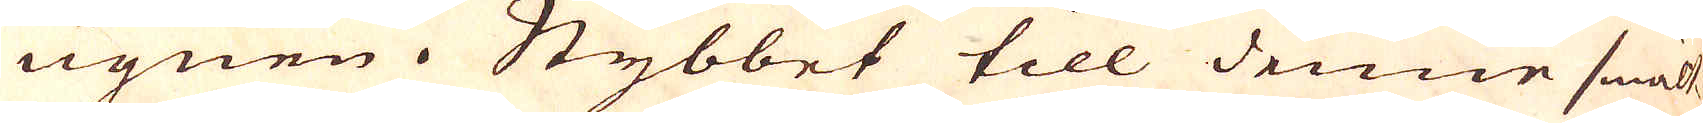ugnen i Stybbet till denne smält-
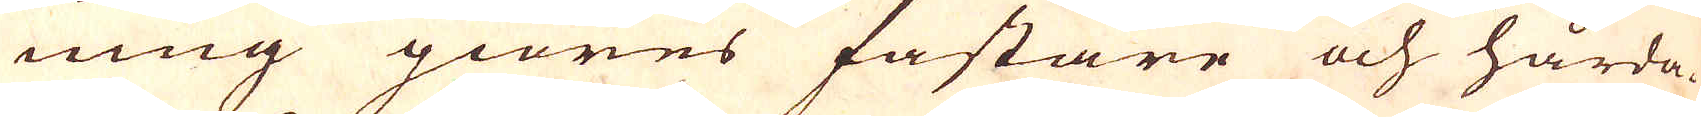ning giöres fastare och hårda-
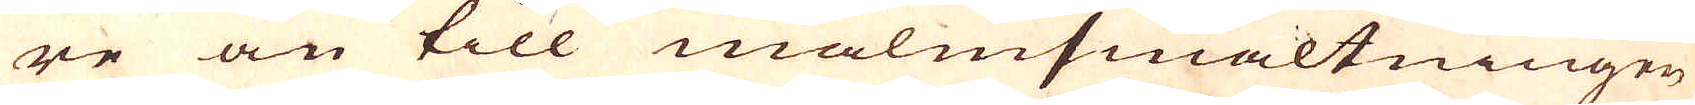re än till malmsmältningen
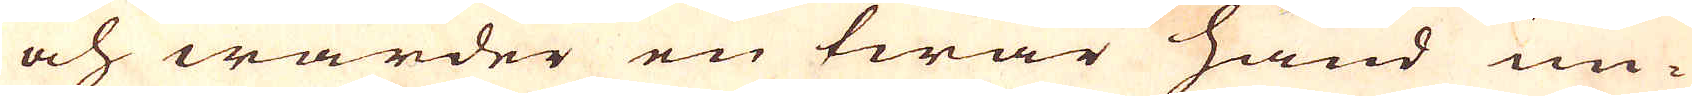och warder en twär hand un-
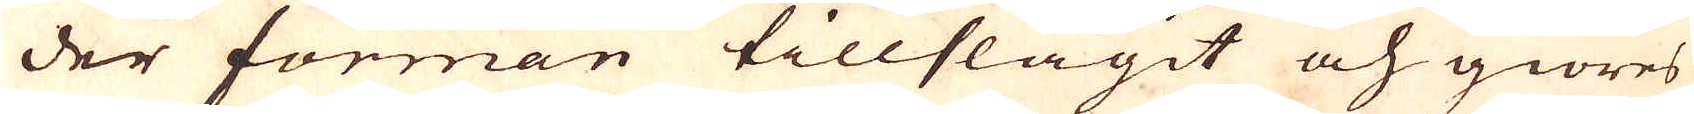der forman tillslagit och giöres
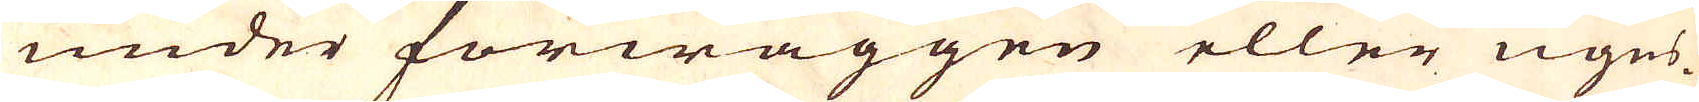under förwäggen eller ugns-
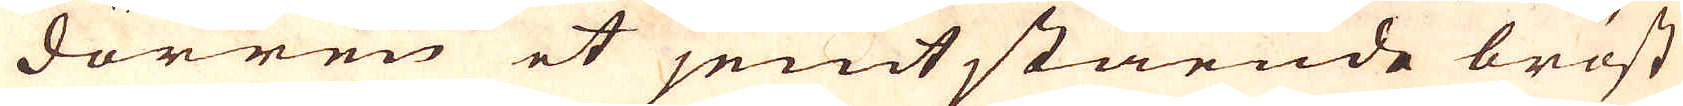dörren et jemtstående bröst
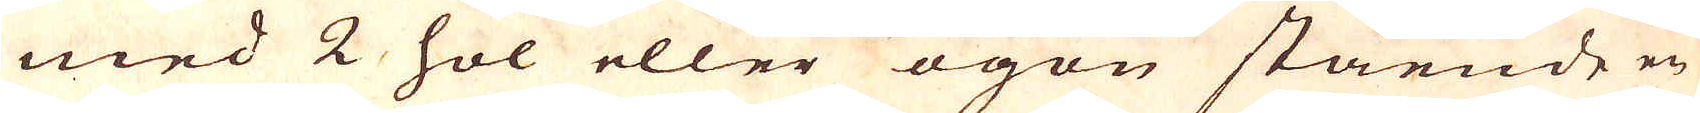med 2 hol eller ögon stående en
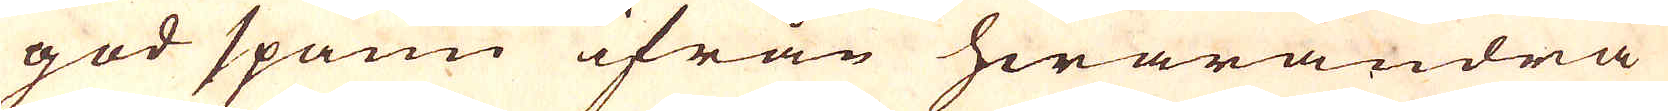god spann ifrån hwarandra
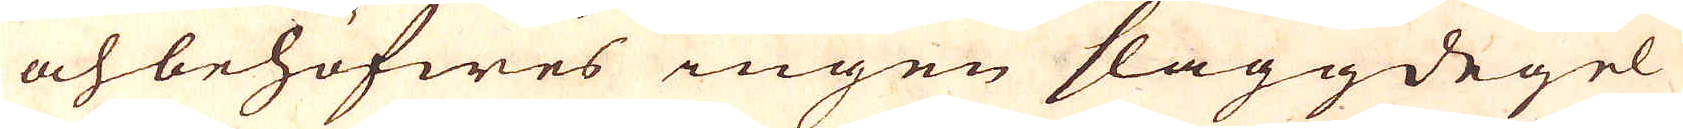och behöfwes ingen slaggdegel
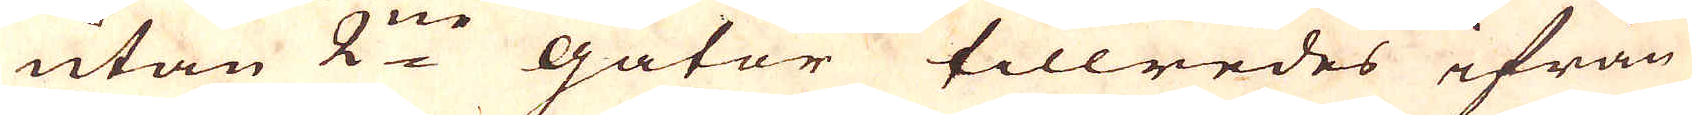utan 2:ne gator tillredes ifrån
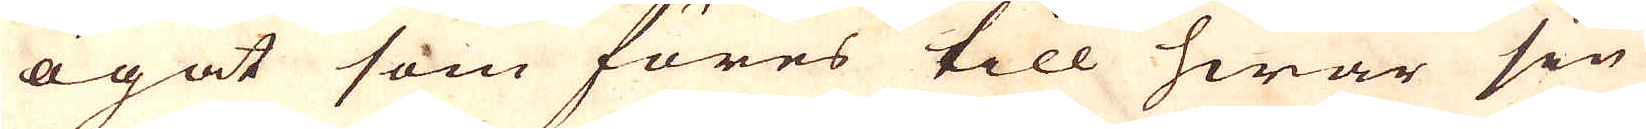ögat som föres till hwar sin
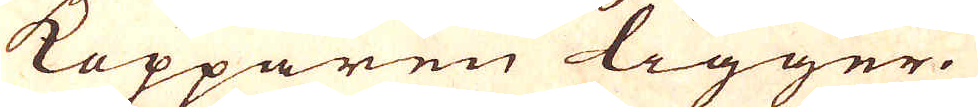Kopparen ligger.
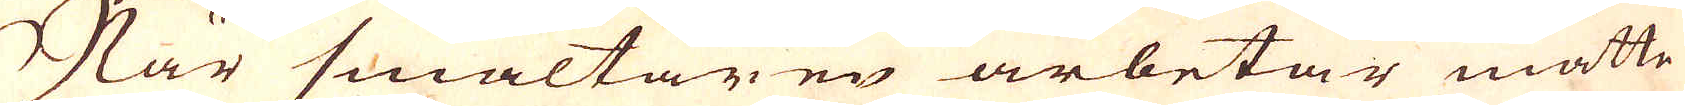När smältaren arbetar måtte
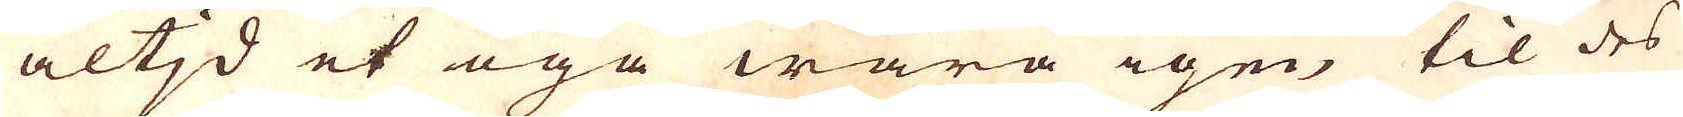altjd et öga wara igen til des
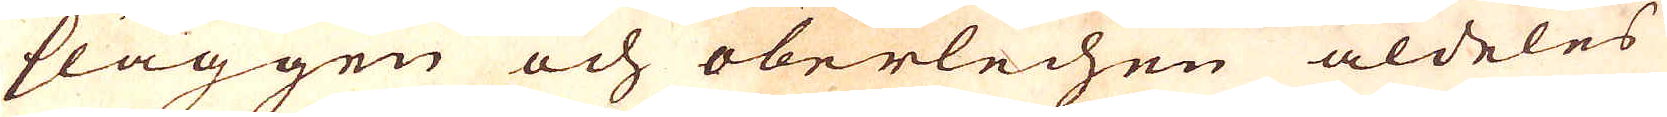slaggen och oberlechen aldeles
